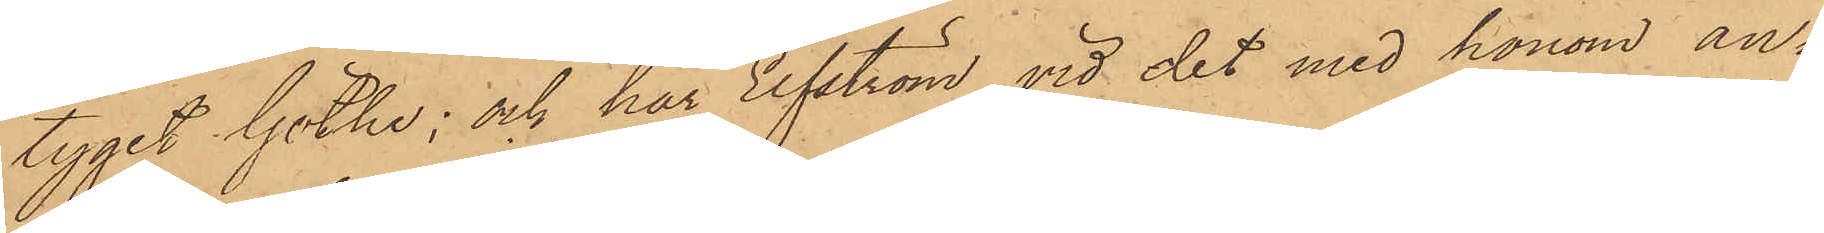tyget Göthe; och har Elfström vid det med honom an¬
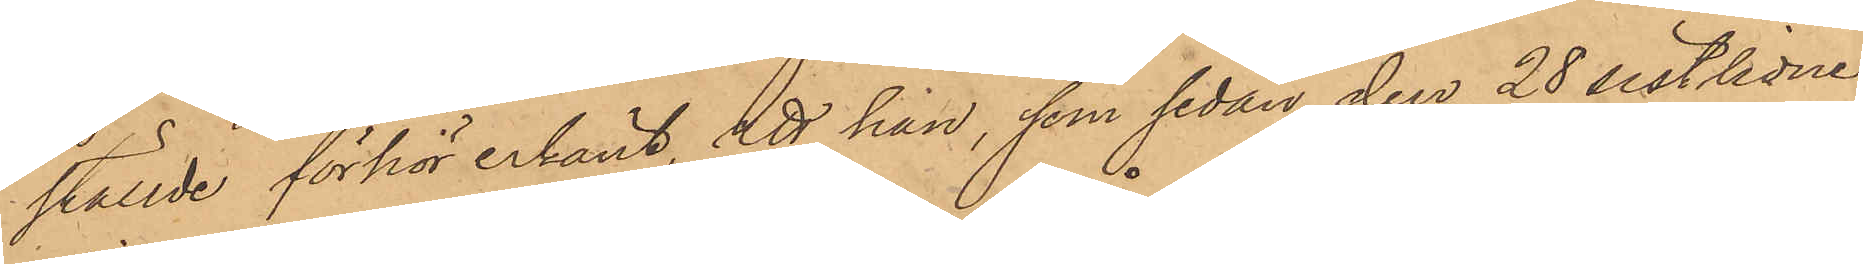ställde förhör erkänt, att han, som sedan den 28 sistlidne
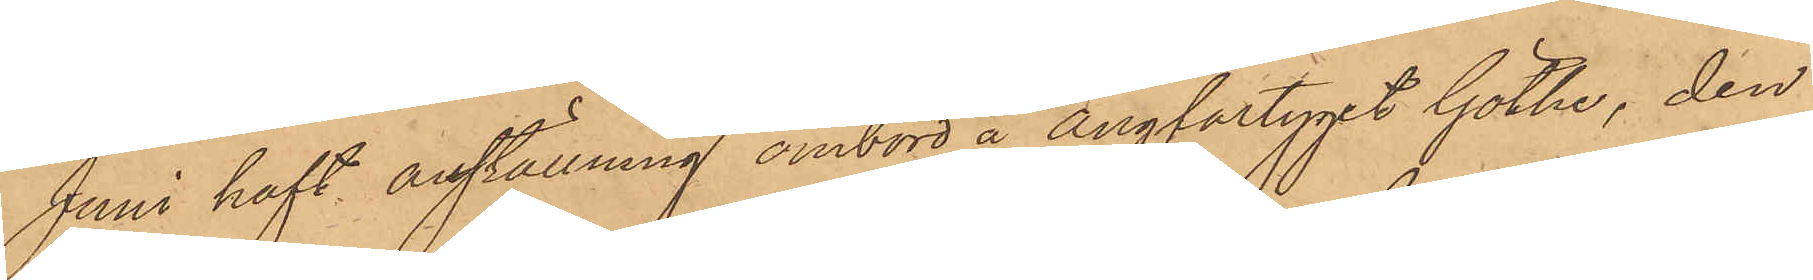Juni haft anställning ombord å Ångfartyget Göthe, den
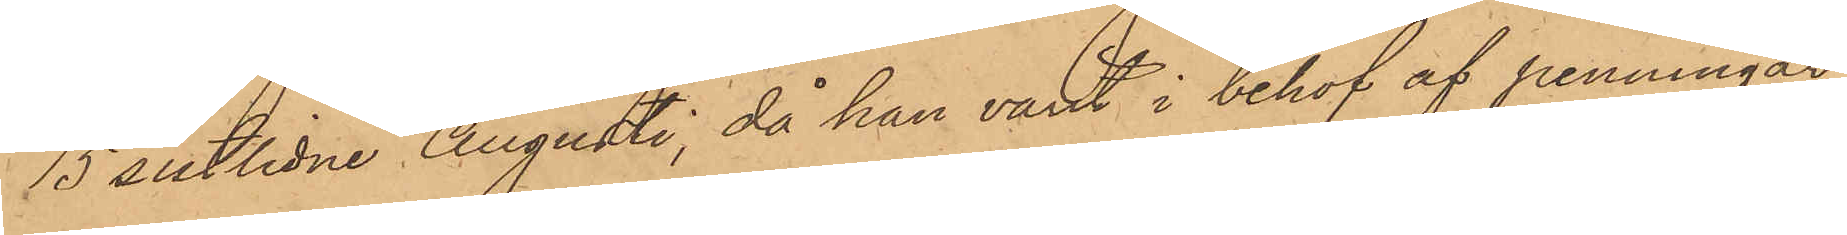15 sistlidne Augusti, då han varit i behof af penningar,
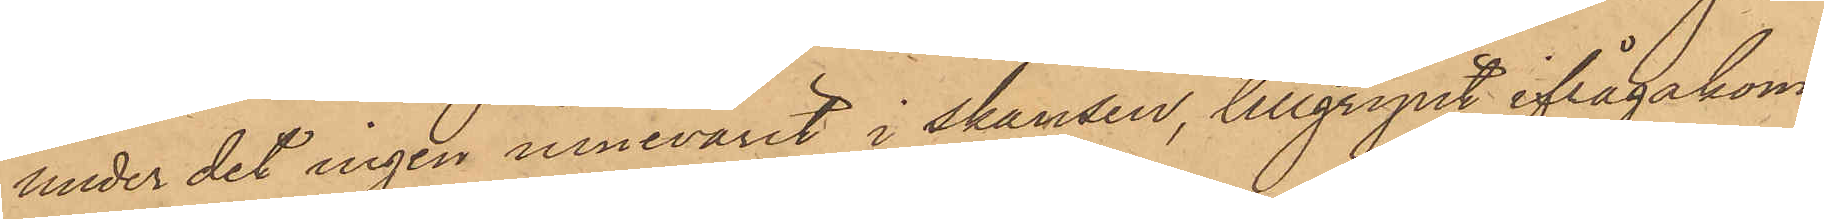under det ingen innevarit i skansen, tillgripit ifrågakom¬
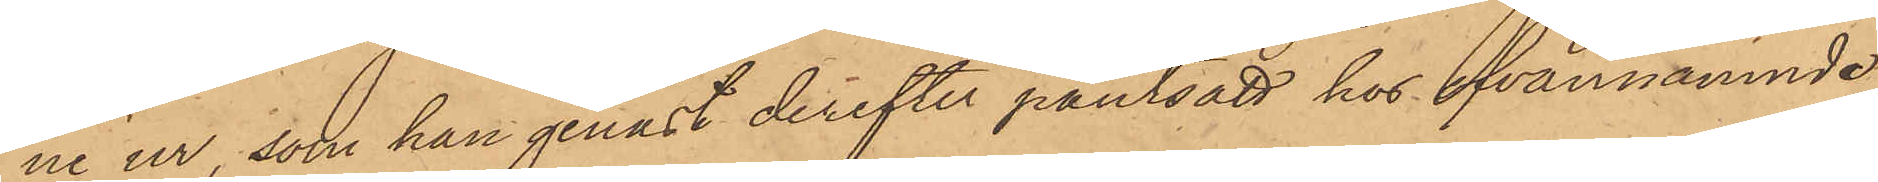ne ur, som han genast derefter pantsatt hos ofvannämnde
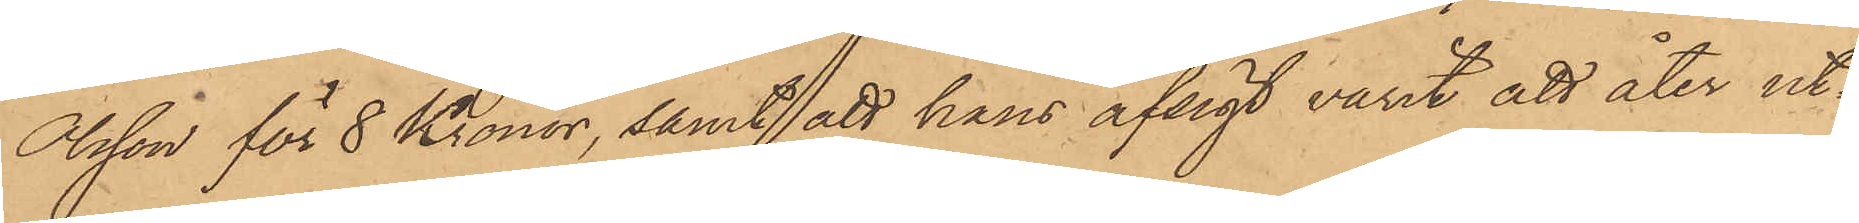Olsson för 8 Kronor, samt att hans afsigt varit att åter ut¬
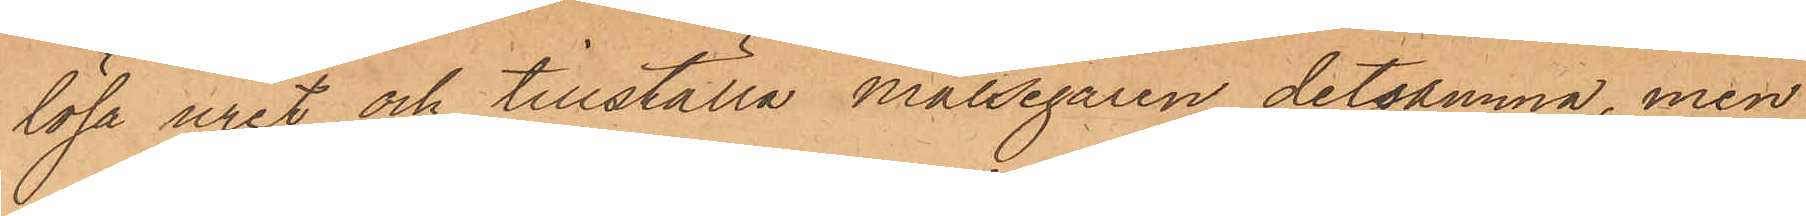lösa uret och tillställa målsegaren detsamma, men
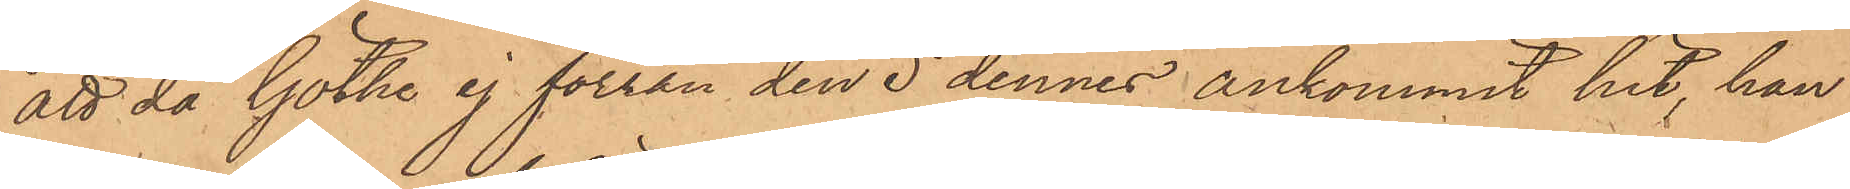att då Göthe ej förrän den 5 dennes ankommit hit, han
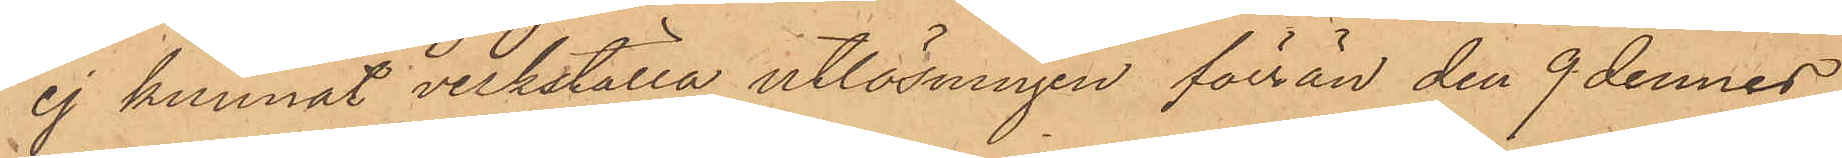ej kunnat verkställa utlösningen förrän den 9 dennes,
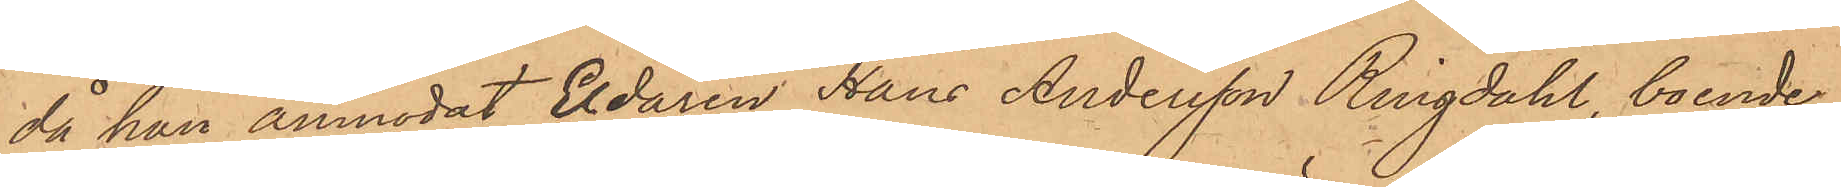då han anmodat Eldaren Hans Andersson Ringdahl, boende
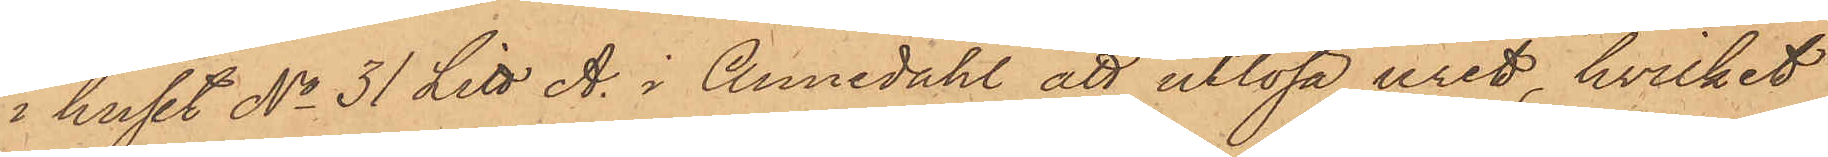i huset No 31 Litt A. i Annedahl att utlösa uret, hvilket
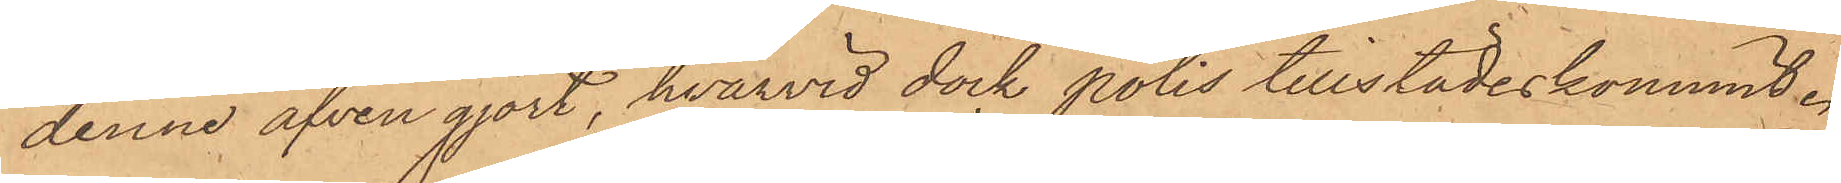denne äfven gjort, hvarvid dock polis tillstädeskommit.
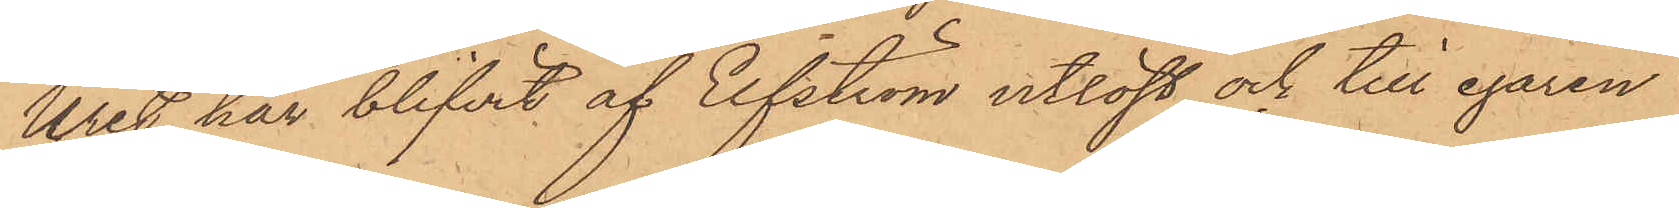Uret har blifvit af Elfström utlöst och till egaren
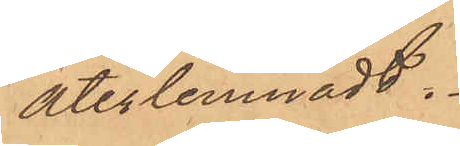återlemnadt.
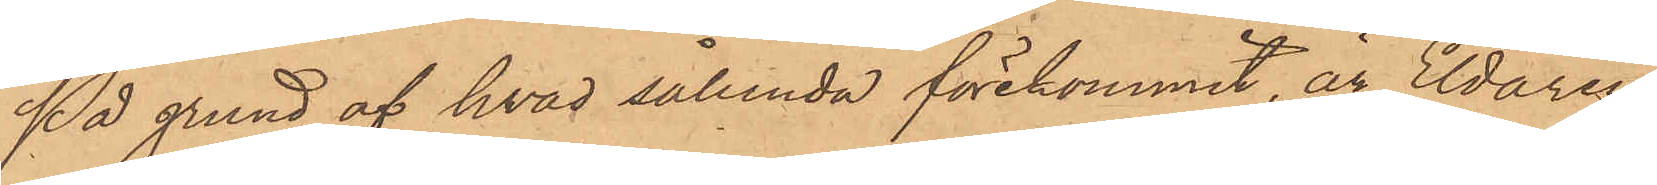På grund af hvad sålunda förekommit, är Eldaren
